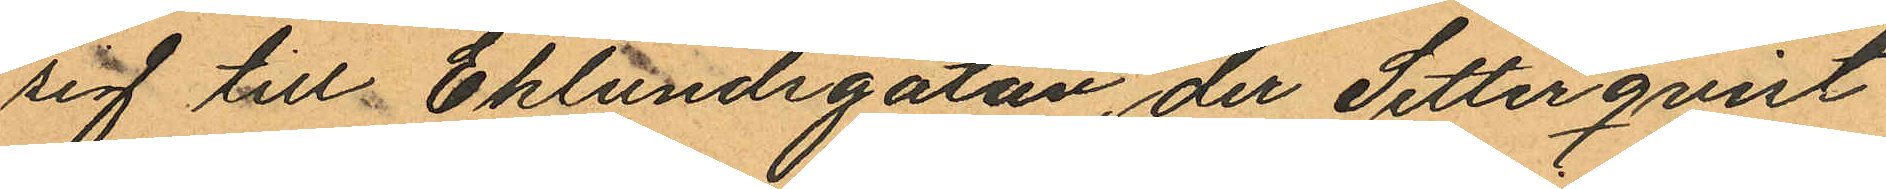sig till Eklundsgatan, der Setterqvist
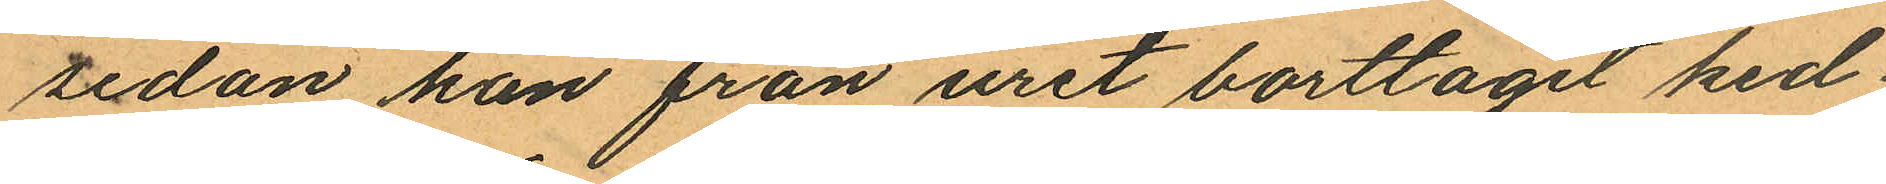sedan han från uret borttagit ked¬
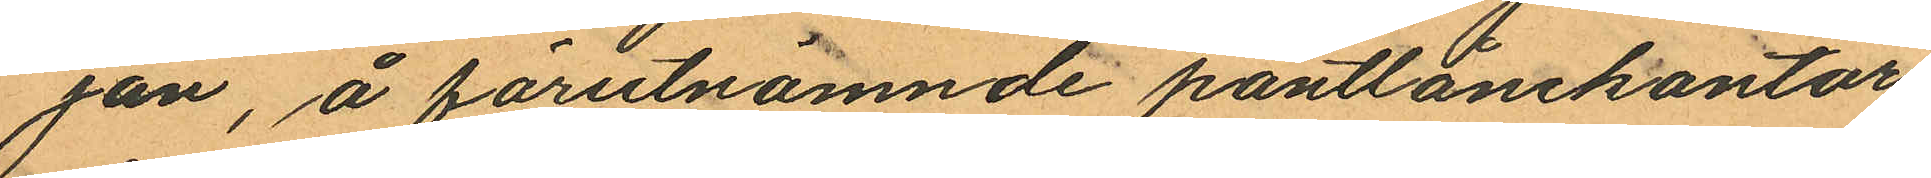jan, å förutnämnde pantlånekontor
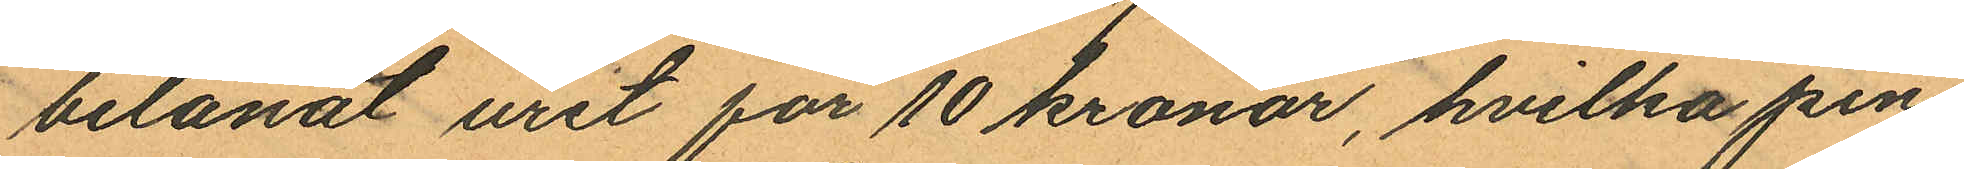belånat uret för 10 kronor, hvilka pen¬
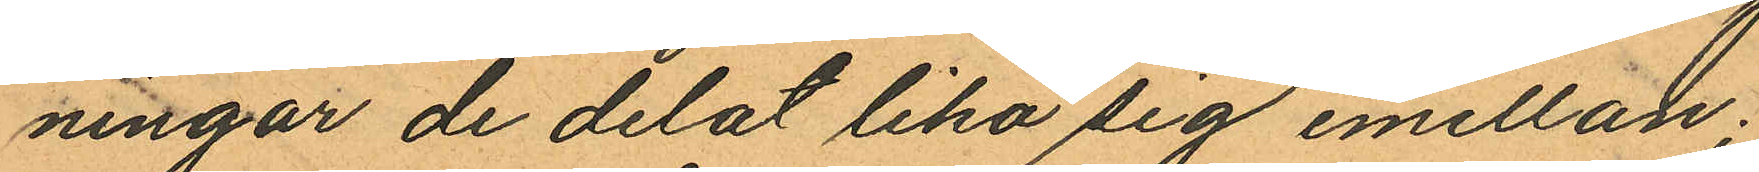ningar de delat lika sig emellan;
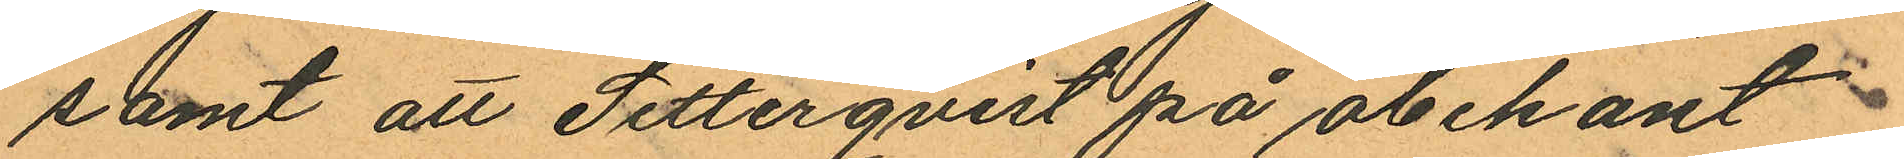samt att Setterqvist på obekant
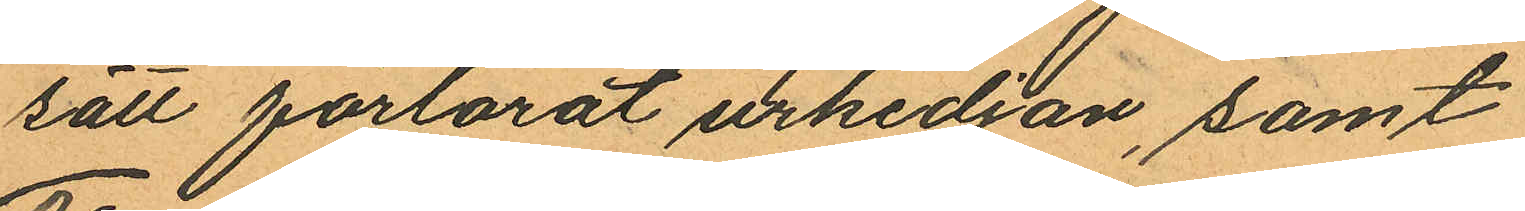sätt förlorat urkedjan, samt
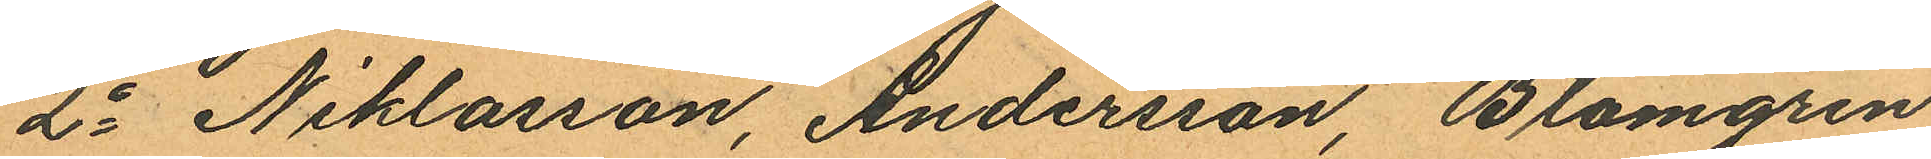2o Niklasson, Andersson, Blomgren
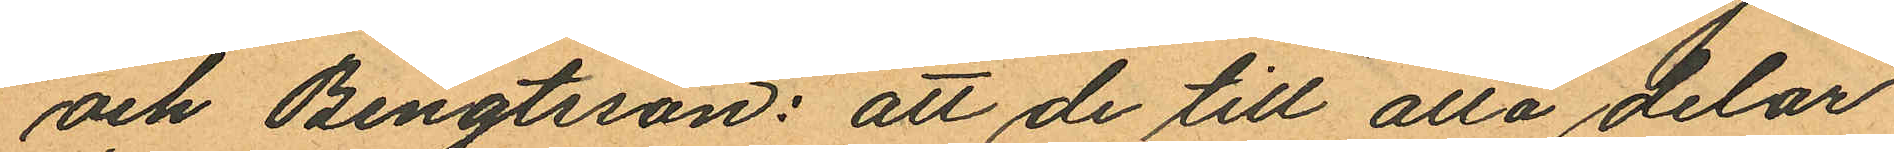och Bengtsson: att de till alla delar
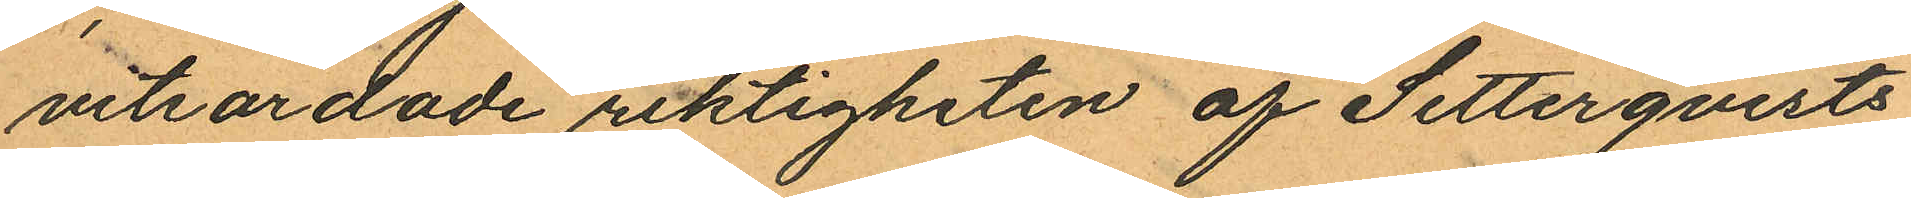vitsordade riktigheten af Setterqvists
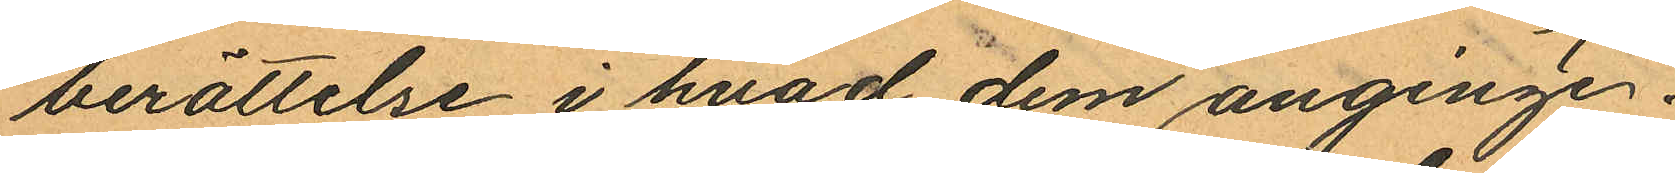berättelse i hvad dem anginge.
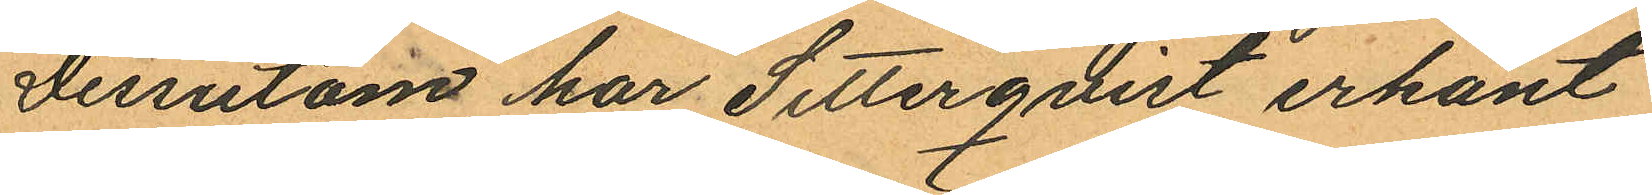Dessutom har Setterqvist erkänt
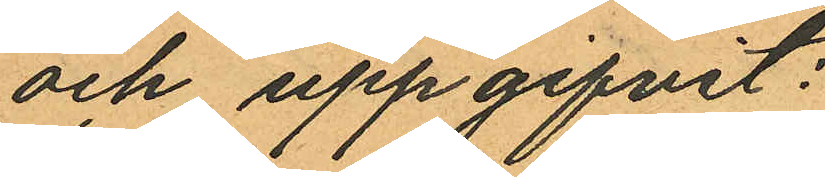och uppgifvit:
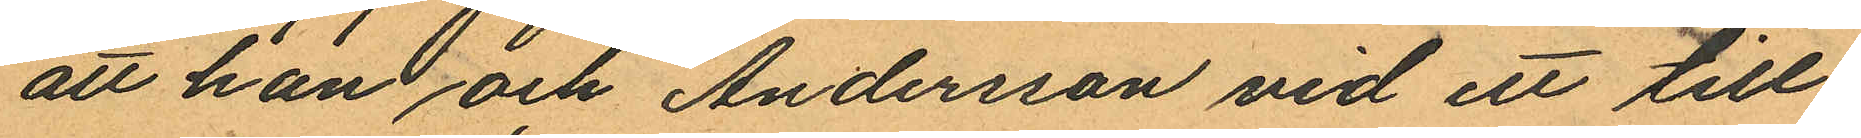att han och Andersson vid ett till
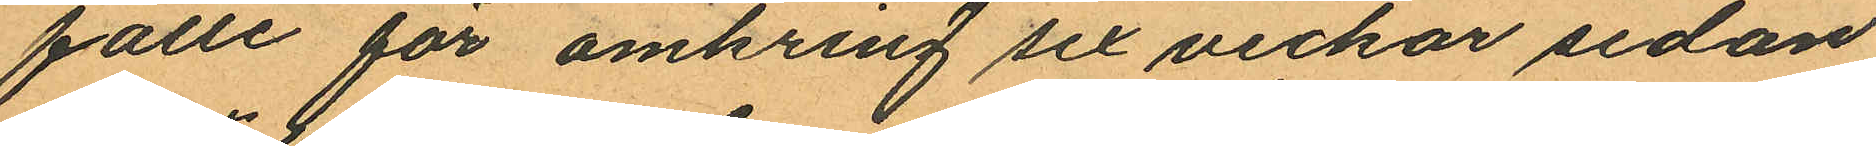fälle för omkring sex veckor sedan
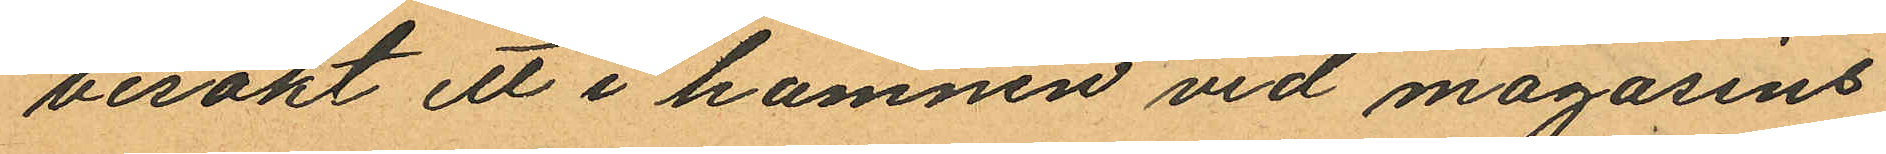besökt ett i hamnen vid magasins¬
